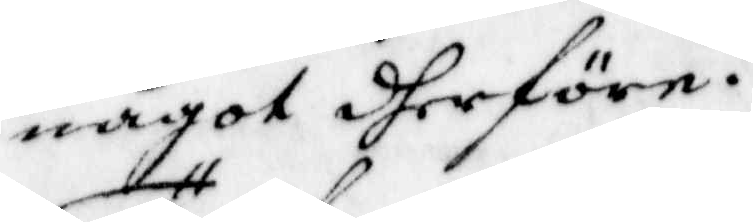något dherföre.
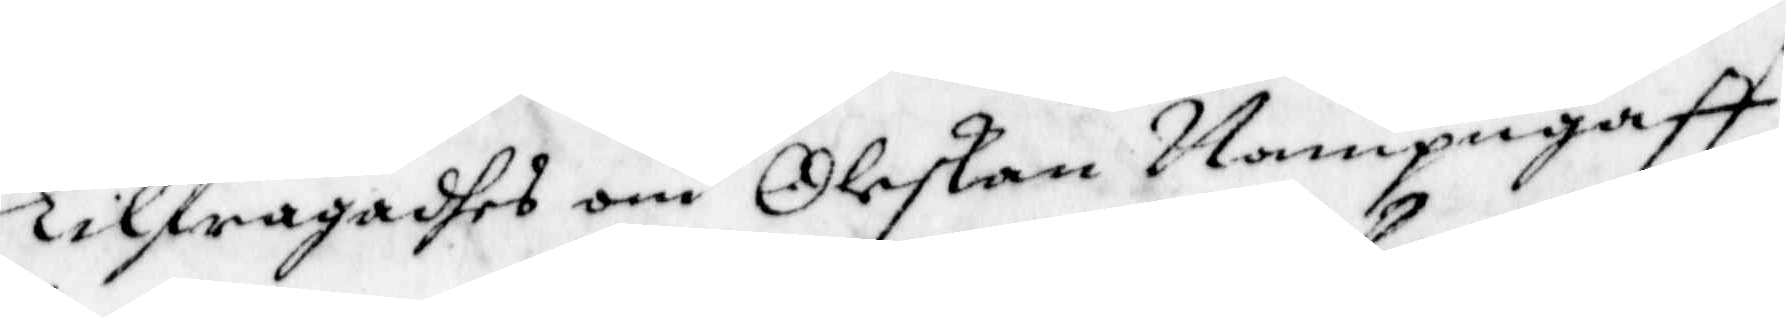Tilfrågadhes om Oleskan Nampngaff
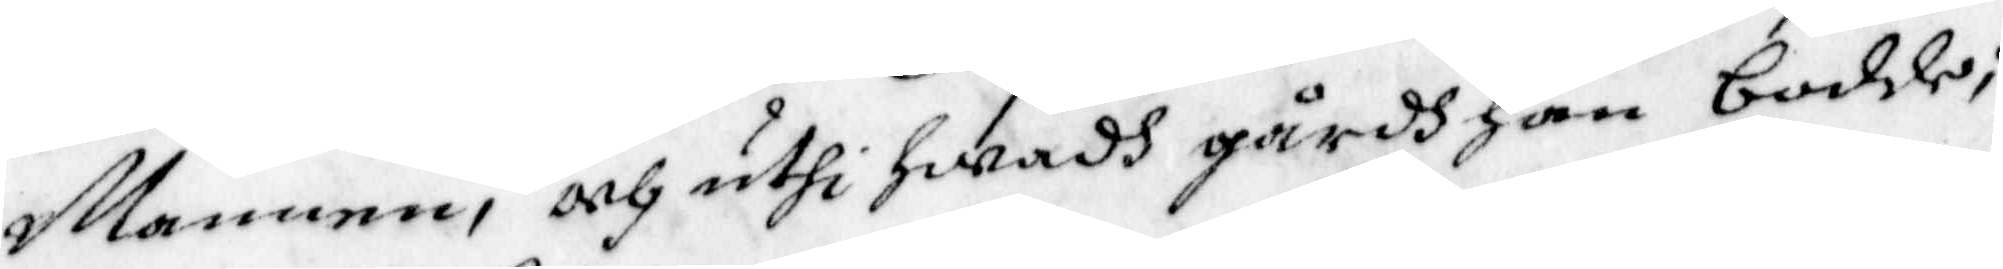Mannen, och uthi hwadh gårdh han bodde;
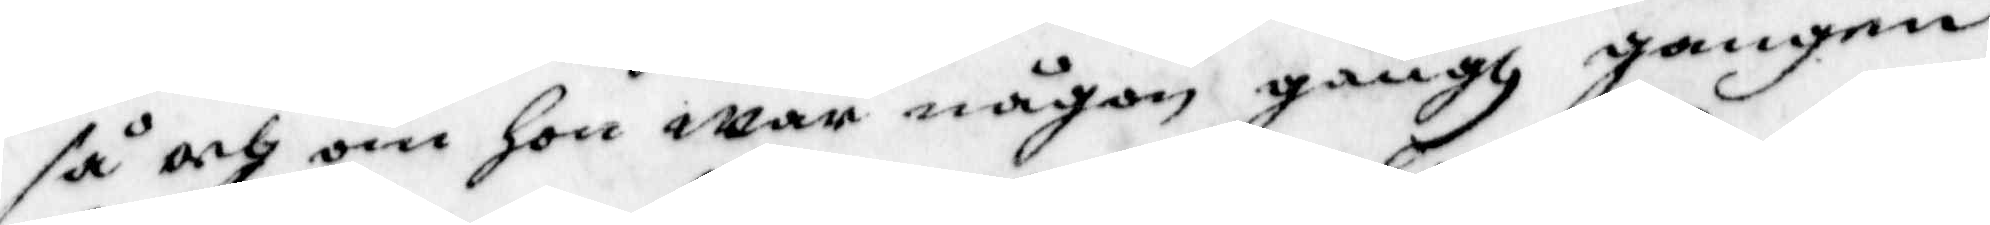så och om Hon war någon gångh gongen
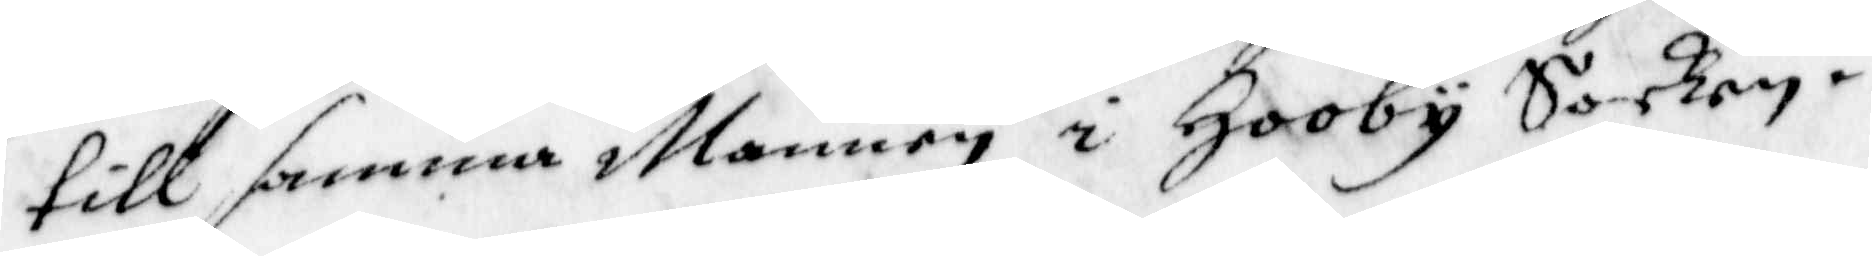till samma Mannen i Hooby Socken.
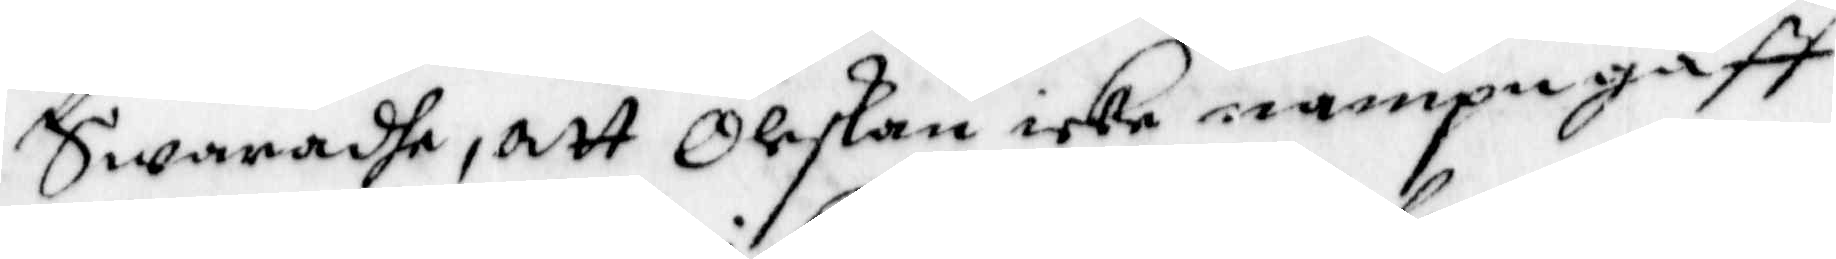Swaradhe, att Oleskan icke nampn gaff
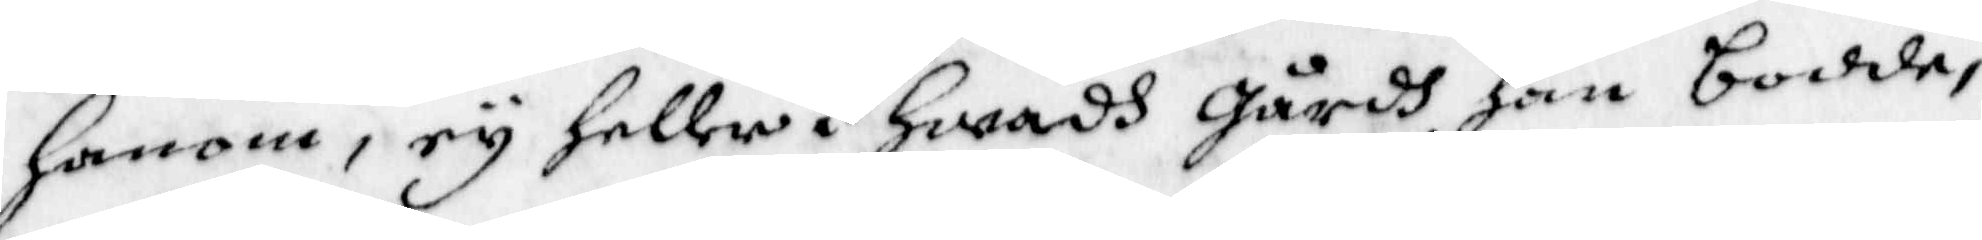honom, ey heller i Hwadh gårdh han bodde,
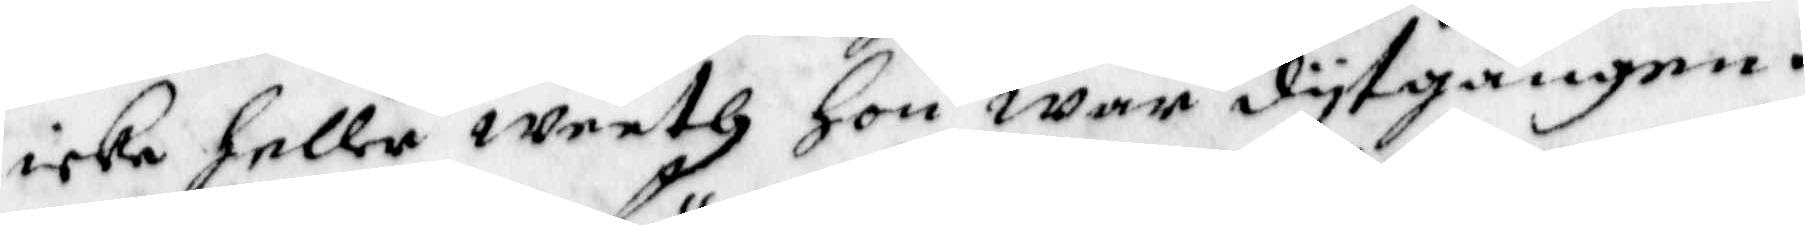icke heller weeth Hon war dytgången.
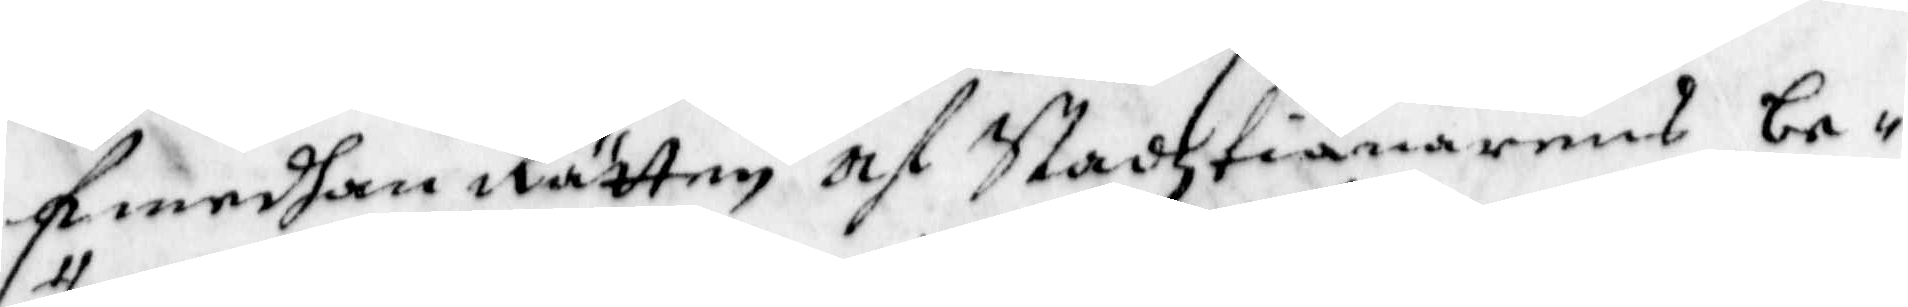Emedhan Rätten af Stadztiänarens be¬
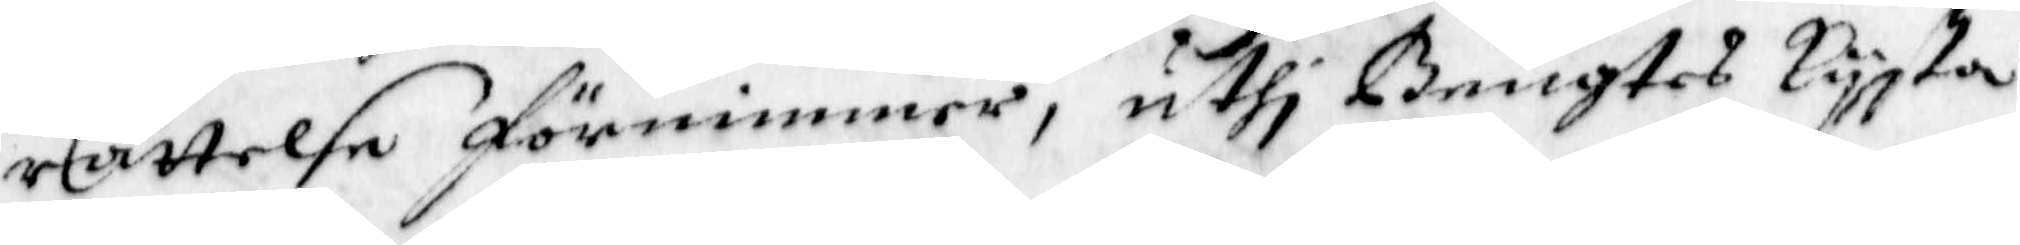rättelse förnimmer, uthi Bengtes kysta
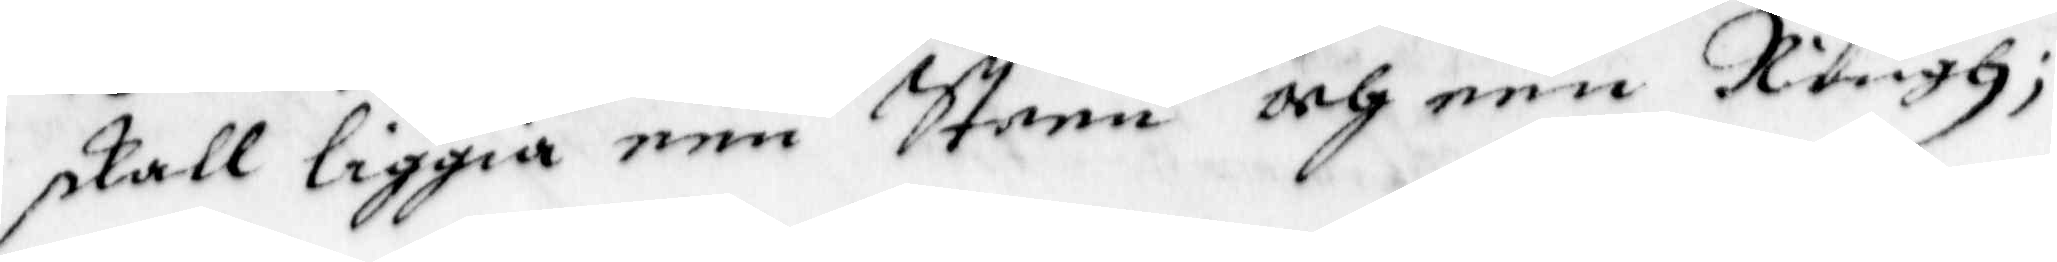skall liggia een Steen och een Ringh,
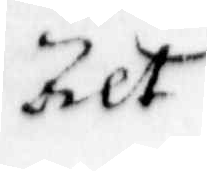Alt
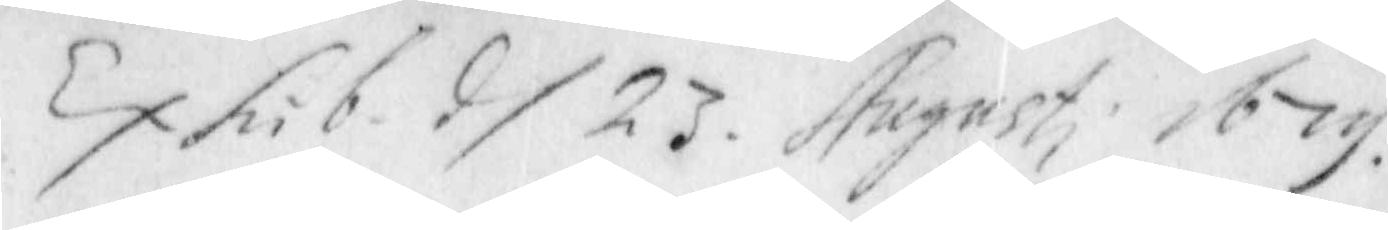Exhib: d/ 23 Augusti 1679
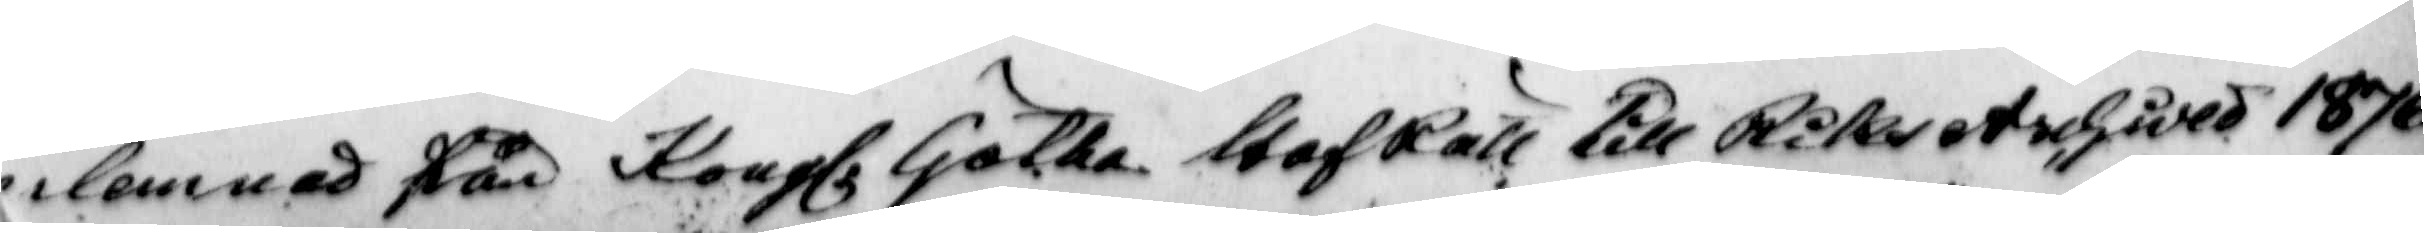inlemnad från Kongl Götha HofRätt Till Riksetshåld 1876
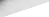wyda
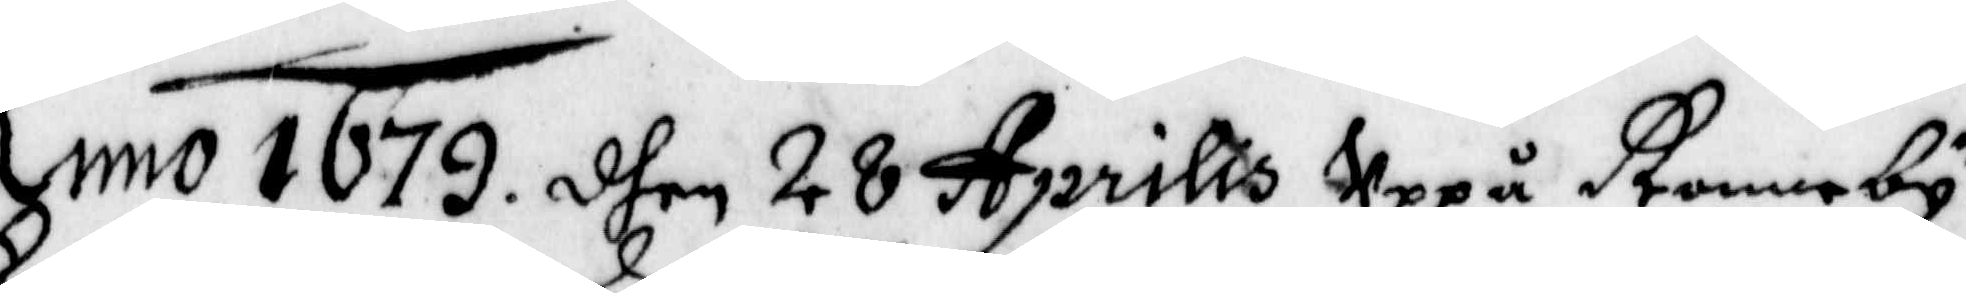Anno 1679 dhen 28 Aprillis Uppå Ronneby
